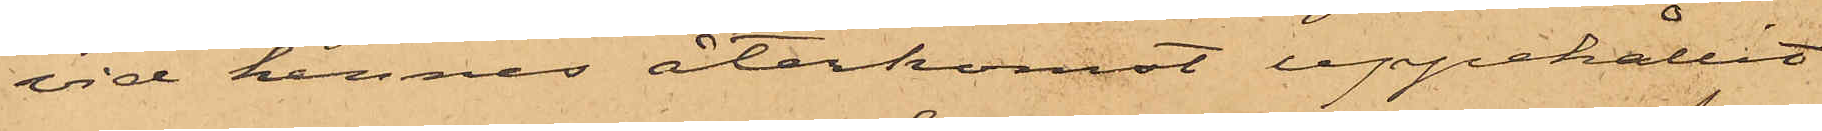vid hennes återkomst uppehållit
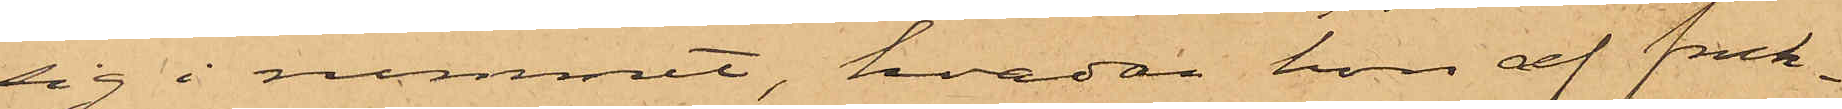sig i rummet, hvadan hon af fruk¬
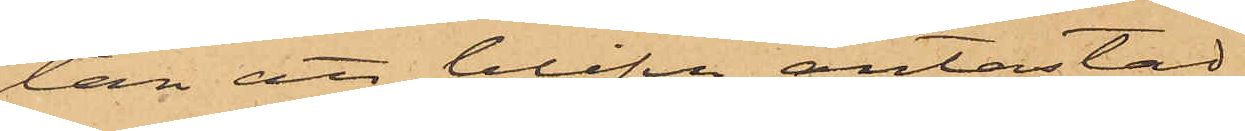tan att blifva antastad
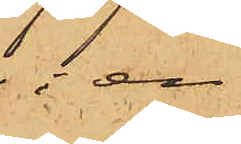i en
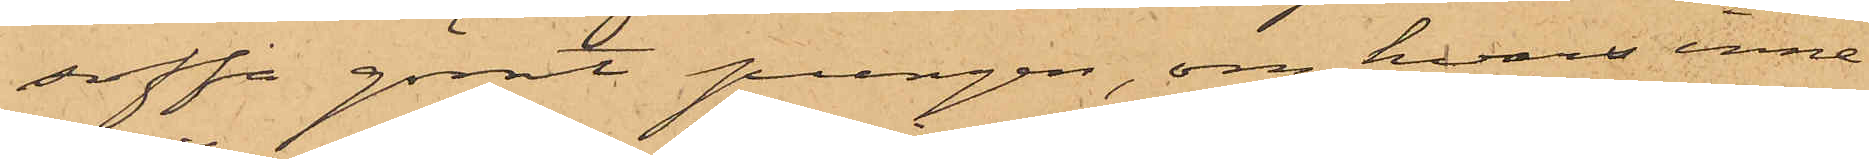soffa gömt pungen, om hvars inne¬
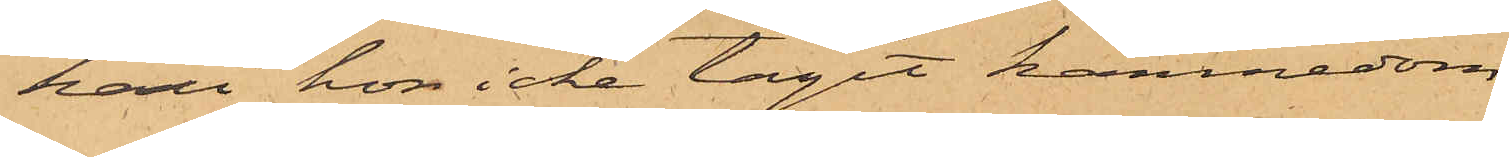håll hon icke tagit kännedom
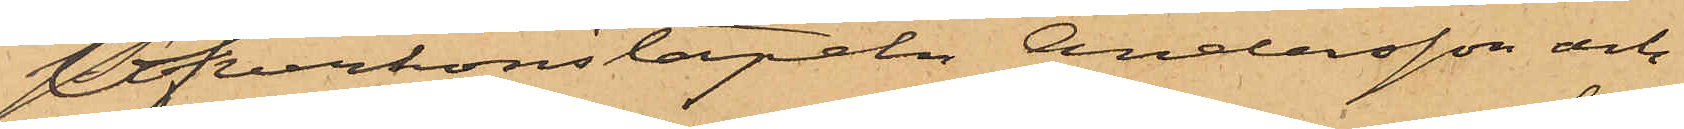Öfverkonstapeln Andersson och
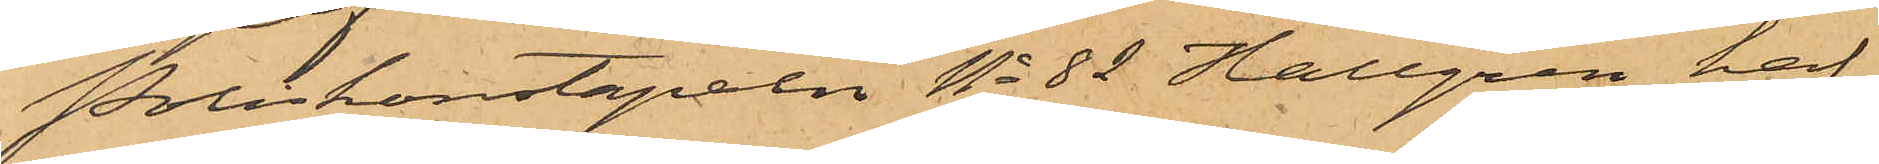Poliskonstapeln No 82 Hallgren haf¬
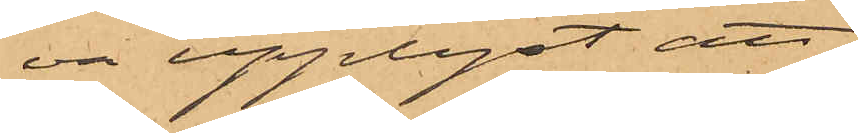va upplyst, att
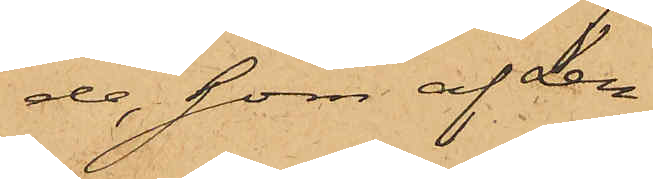de, som af Len¬
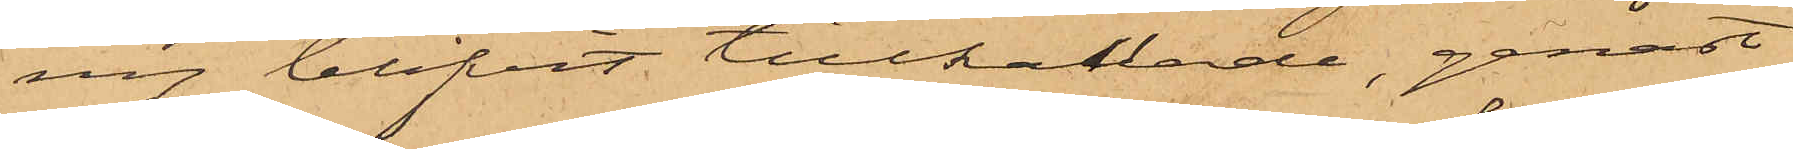ny blifvit tillkallade, genast
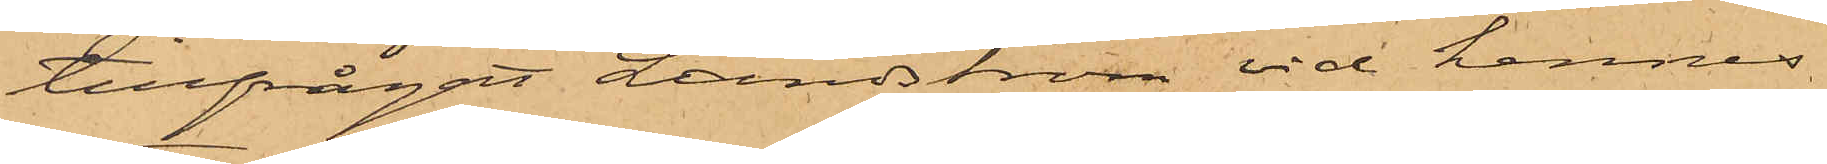tillfrågat Lundström vid hennes
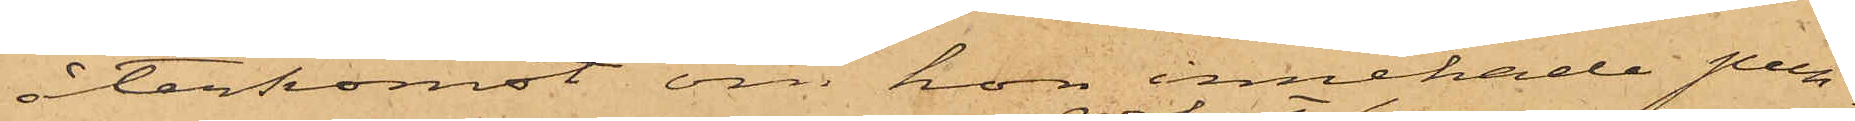återkomst om hon innehade pun¬
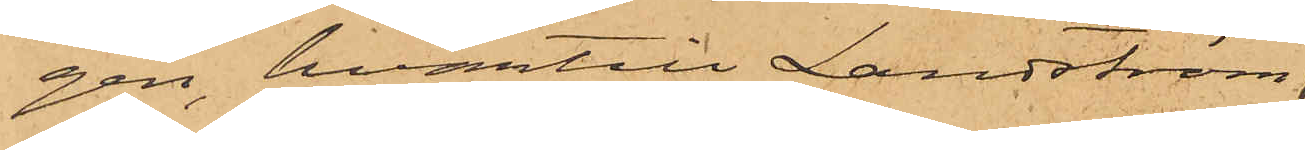gen, hvartill Landström,
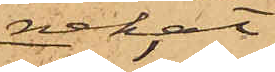nekat;
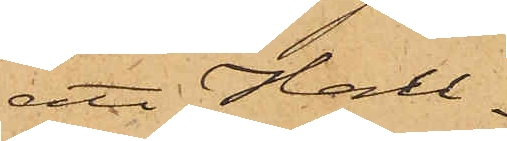att Hall¬
